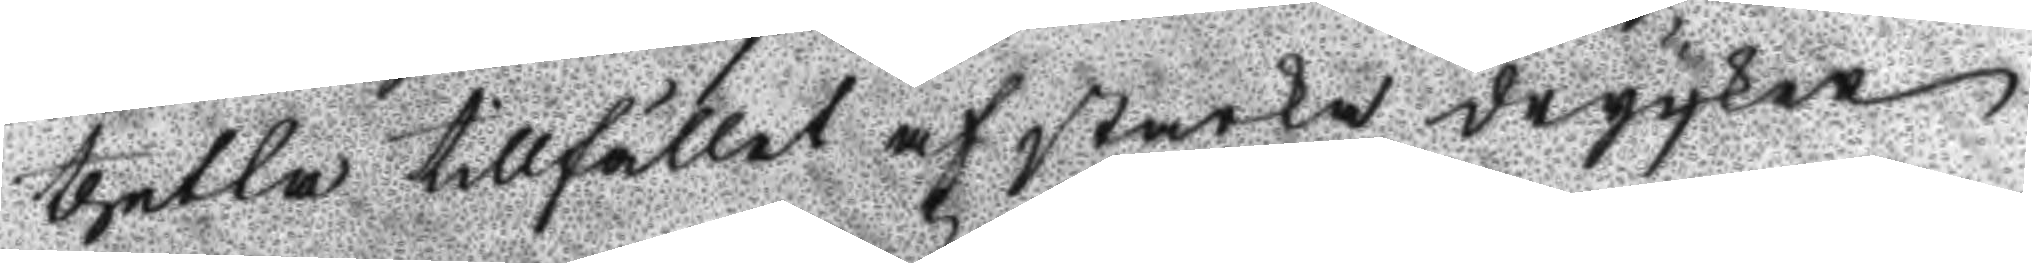thetta tillfället af starka drycker
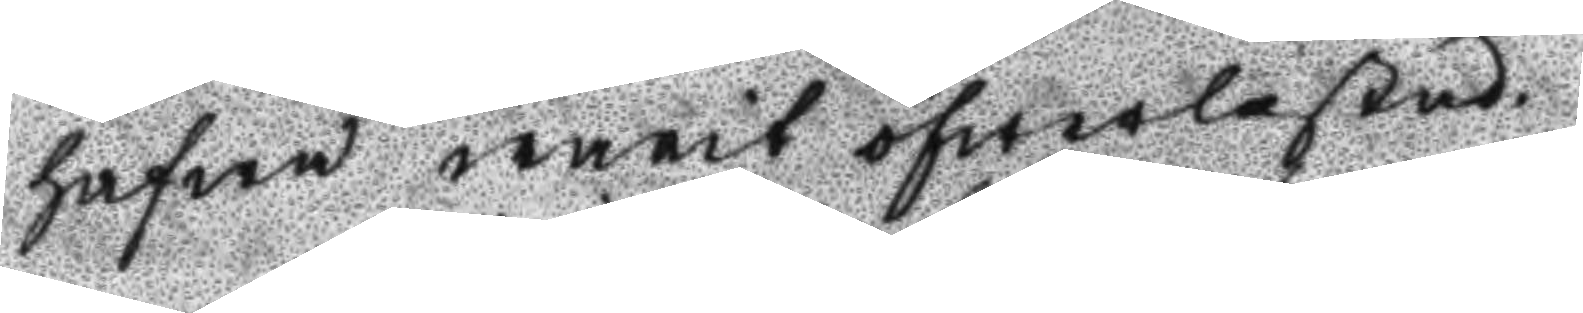hafwa warit öfwerlastad.
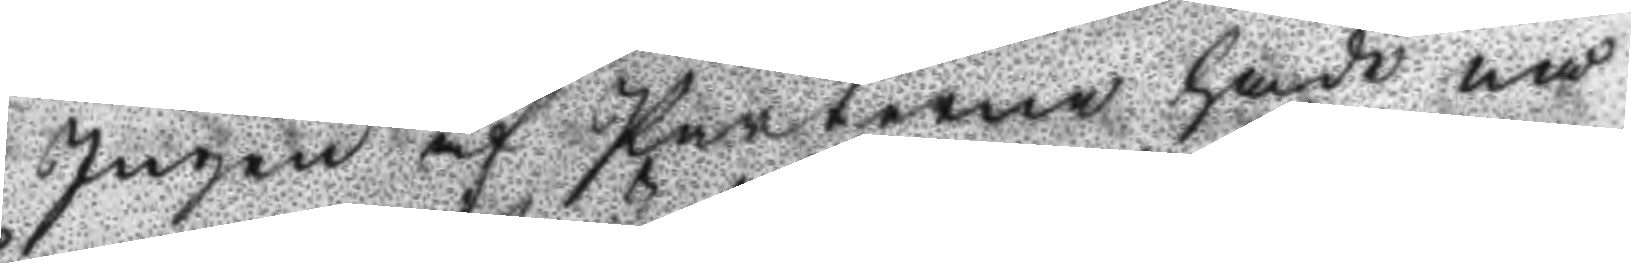Ingen af parterne hade nå¬
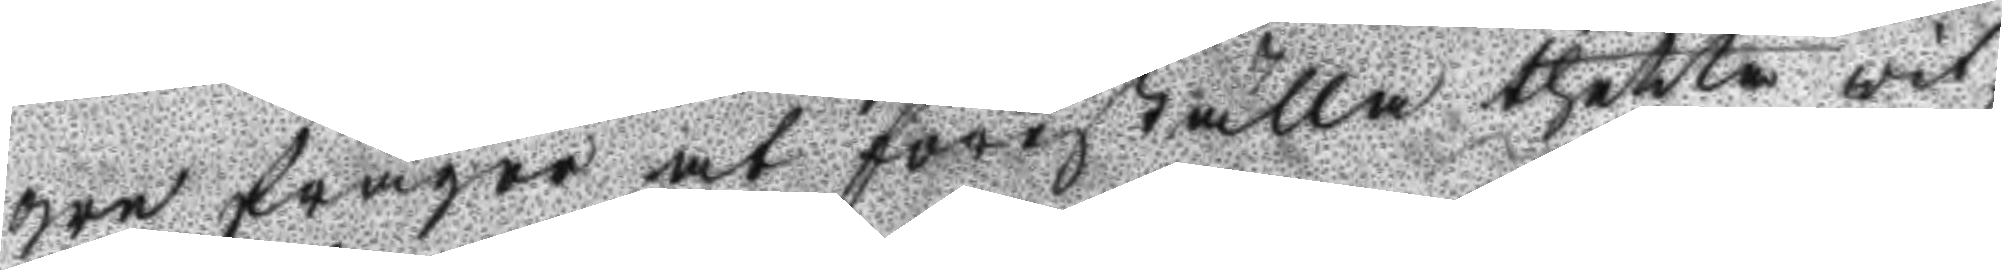gre frågor at föreställa thetta vit¬
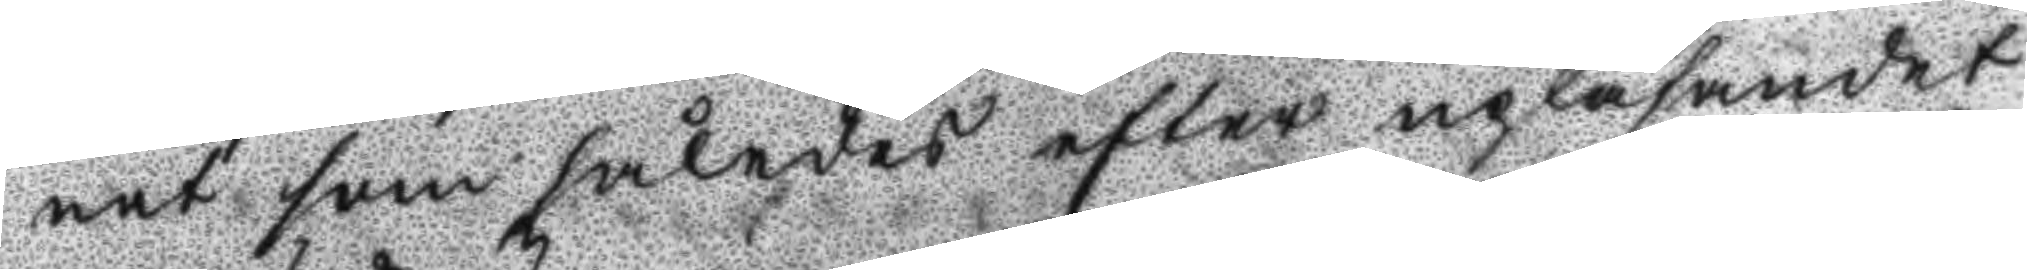net som således efter upläsandet
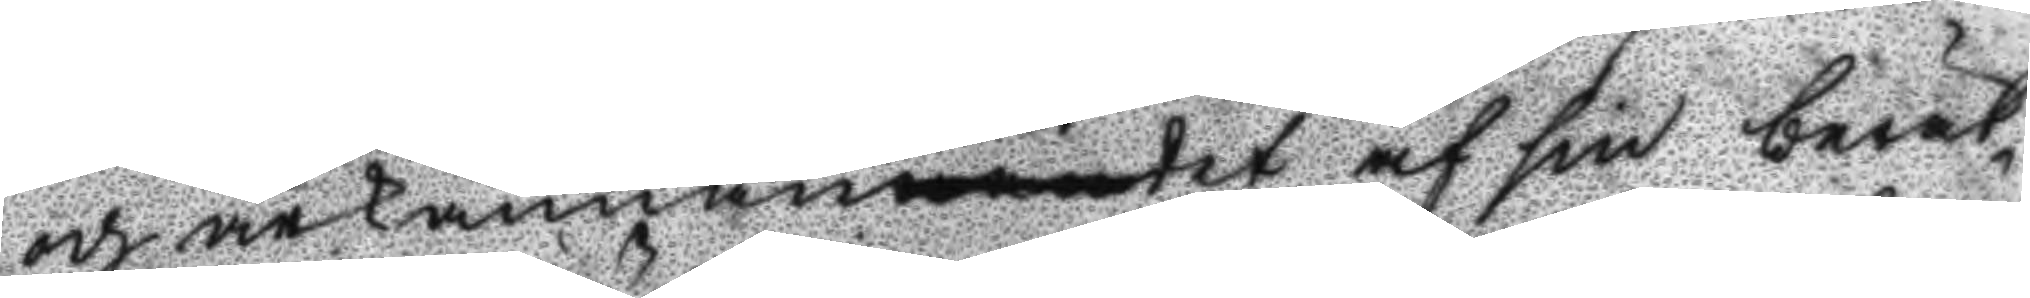och ärkännantet af sin berät¬
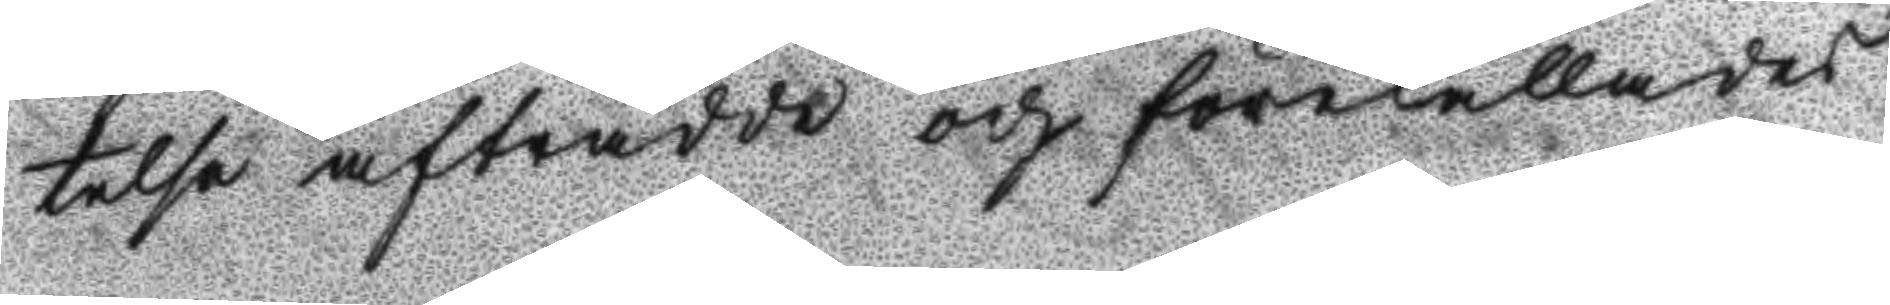telse afträdde och förekallades
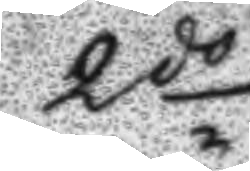2do
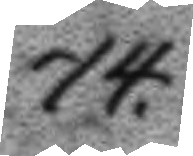74.
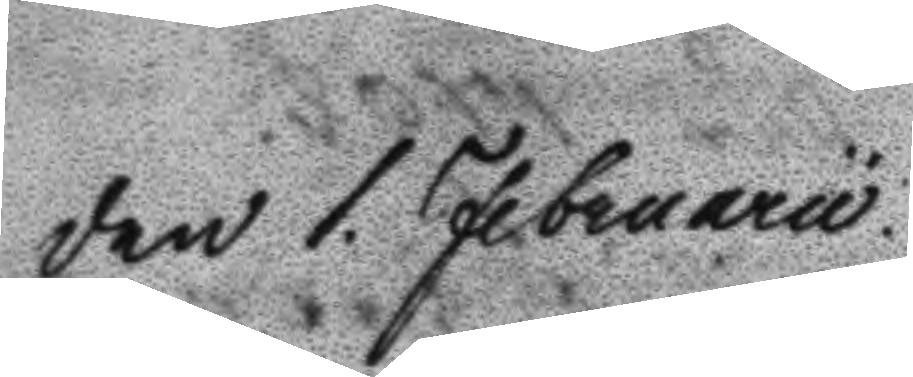den 1 Februarii
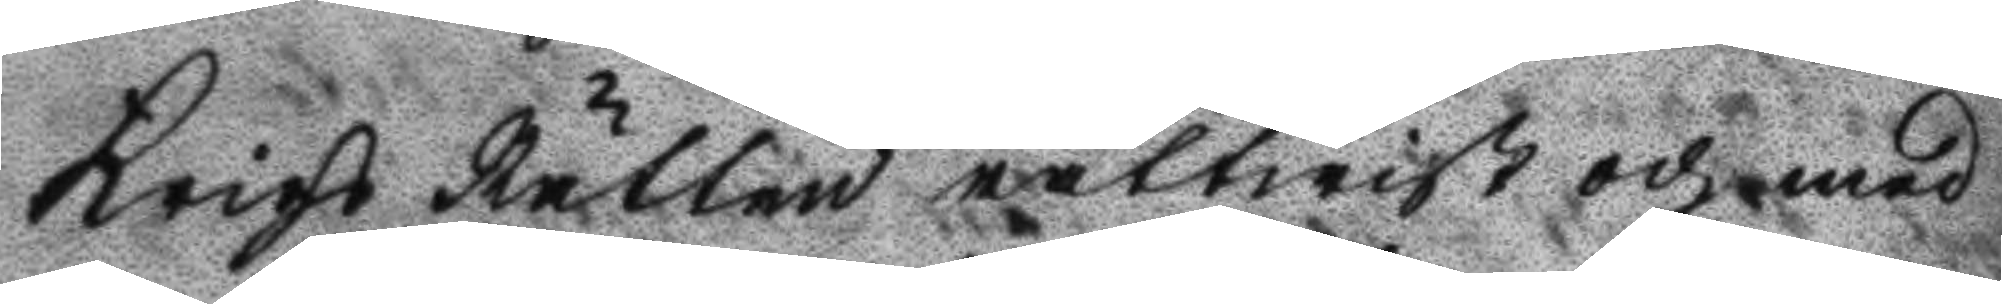Krigs Rätten rättwist och med
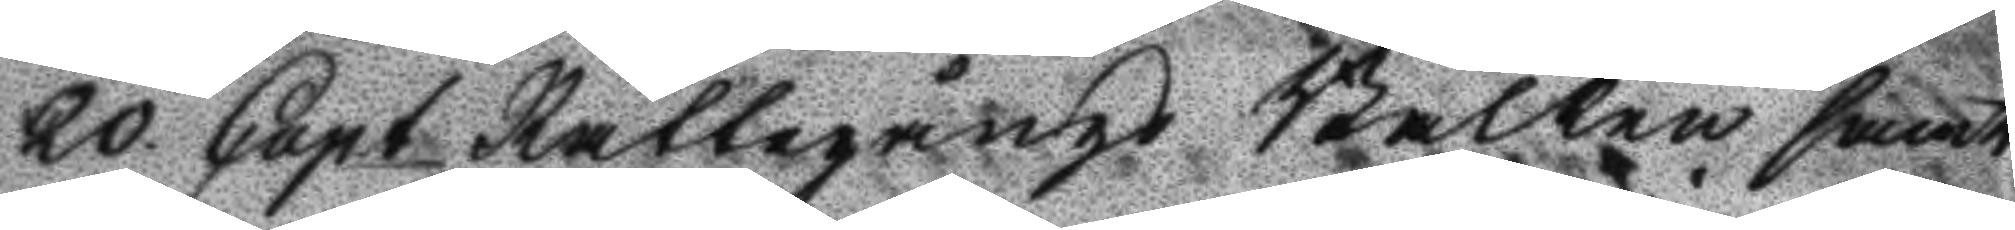20 Cap.t Rättegångs Balken samt
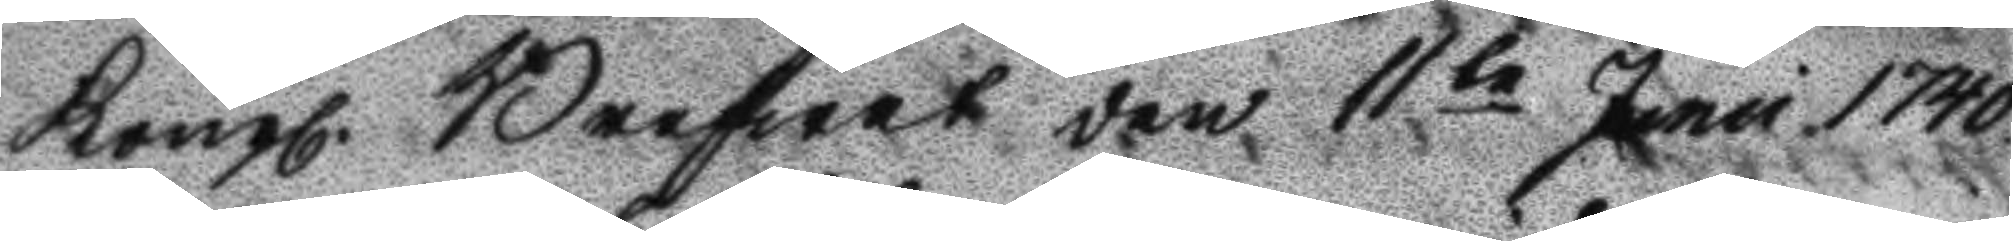Kongl. Brefwet den 11te Juni 1740
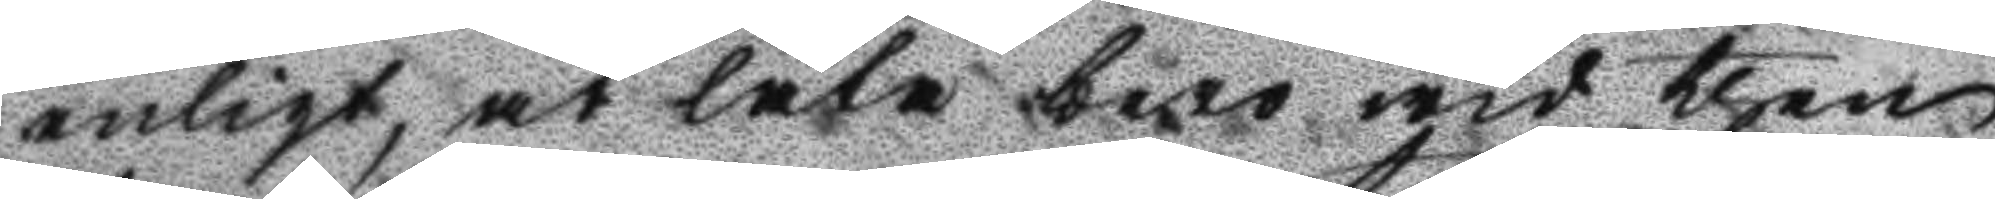enligt, at låta bero wid then
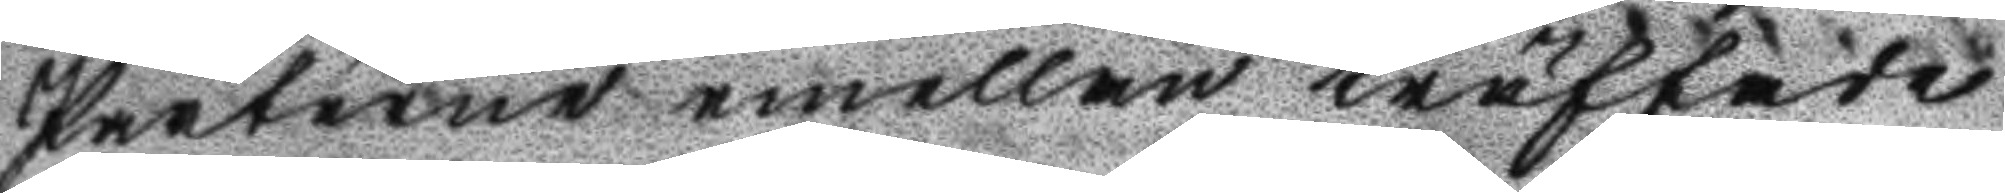Parterne emellan träffade
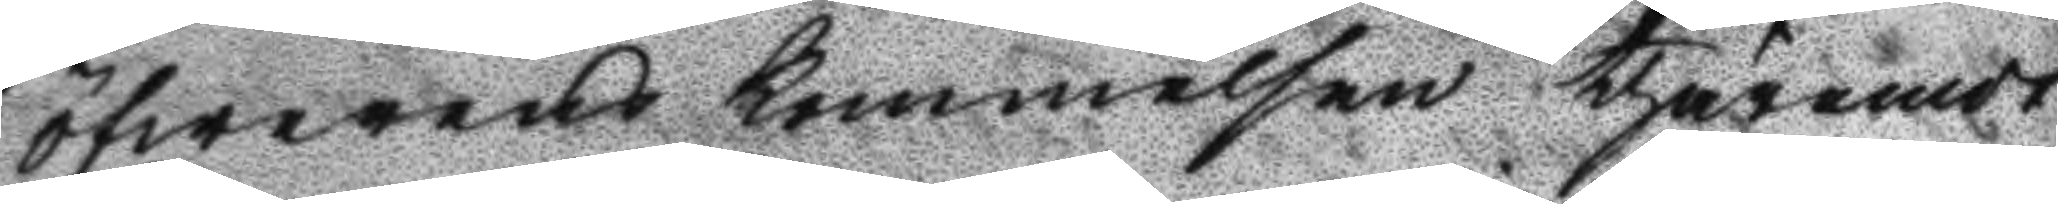öfwerens kommelsen thäremot
